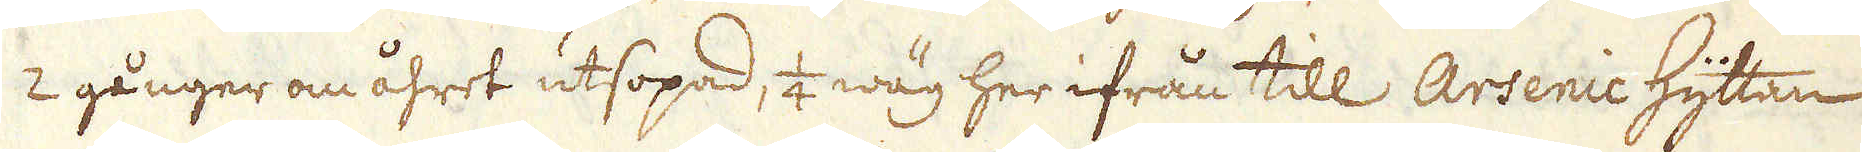2 gånger om åhret utsopad, 1/4 wäg her ifrån till Arsenic Hyttan
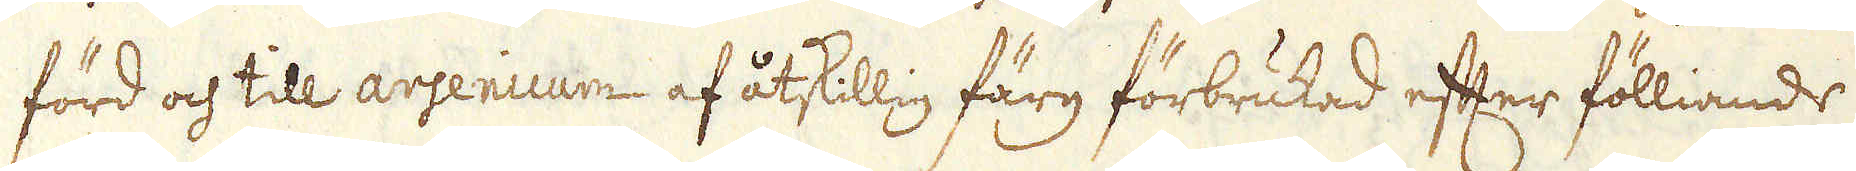förd och till arsenicum af åtskillig färg förbrukad efter fölliande
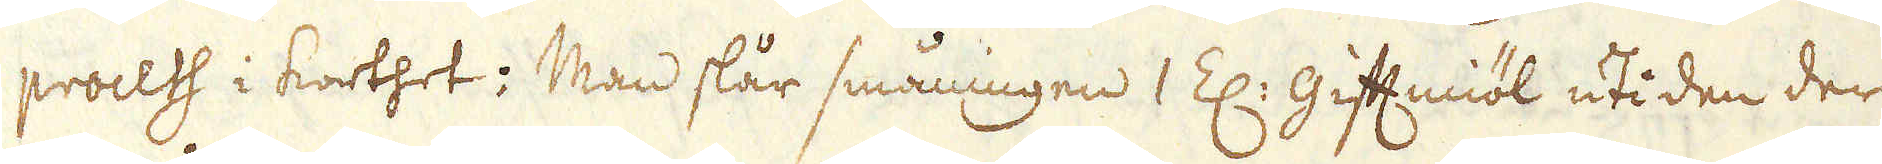proceth i korthet; Man slår småningen 1 Z: Giftmiöl uti den der
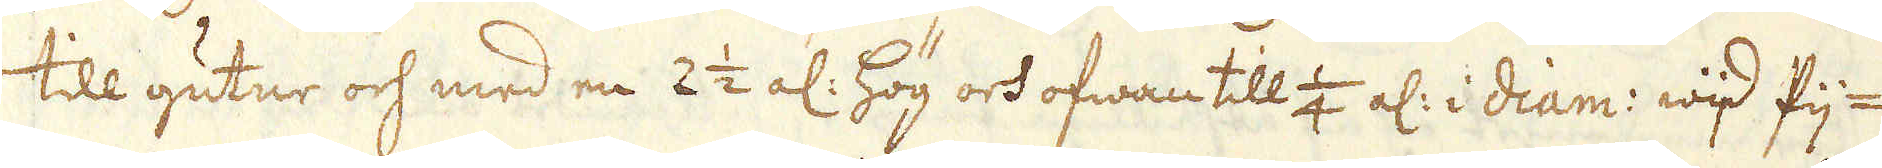till gutne och med en 2 1/2 al: hög och ofwan till 1/4 al: i diam: wid fij-
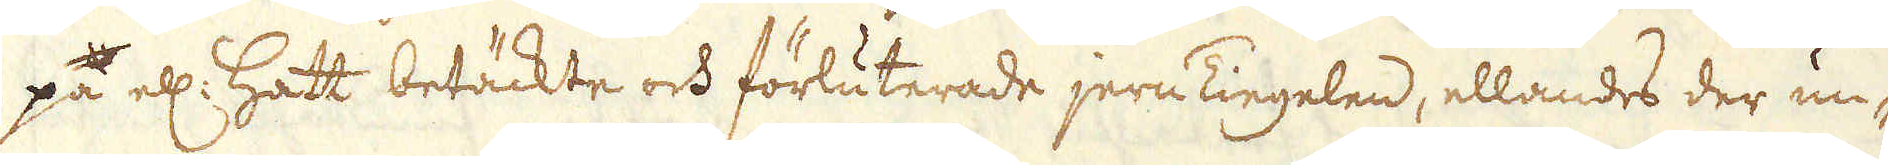på ell: Hatt betäckte och förluterade jern Tiegelen, ellandes der un-
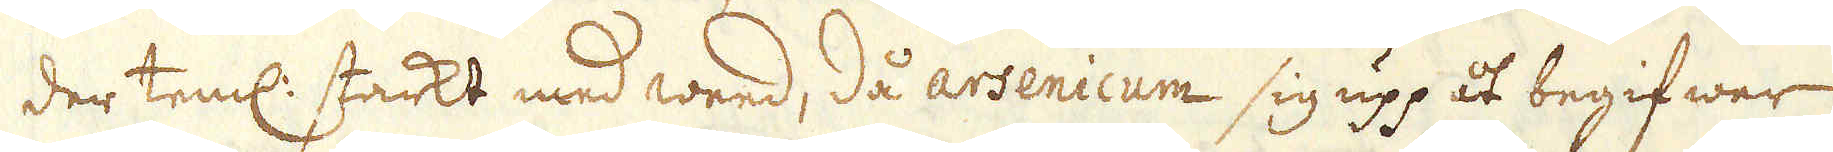der teml: starkt med weed, då arsenicum sig upp åt begifwer
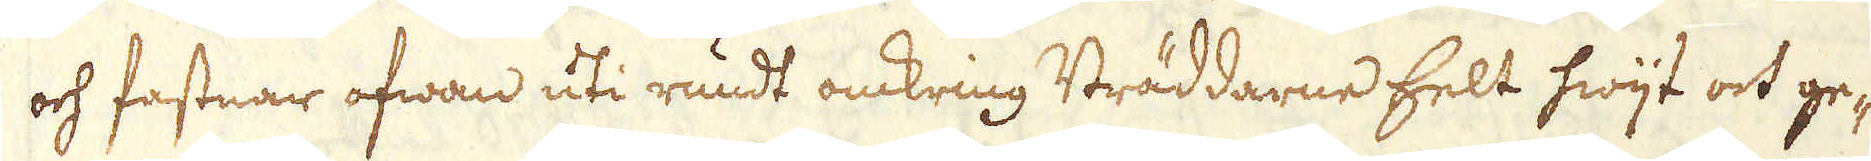och fastnar ofwan uti rundt omkring Bräddarne helt hwijt och ge-
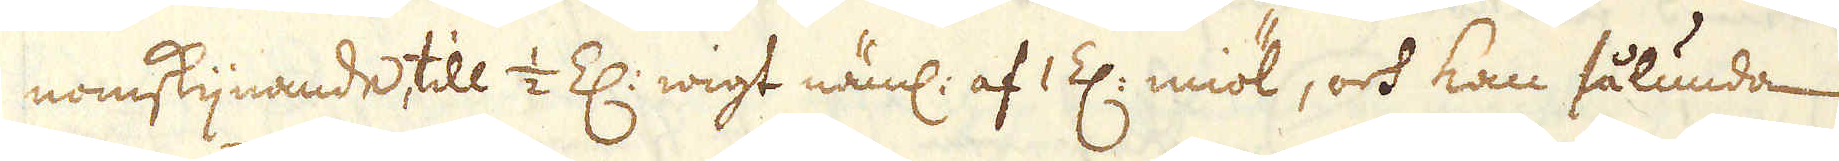nomskijnande till 1/2 Z: wigt näml: af 1 Z: miöl, och kan sålunda
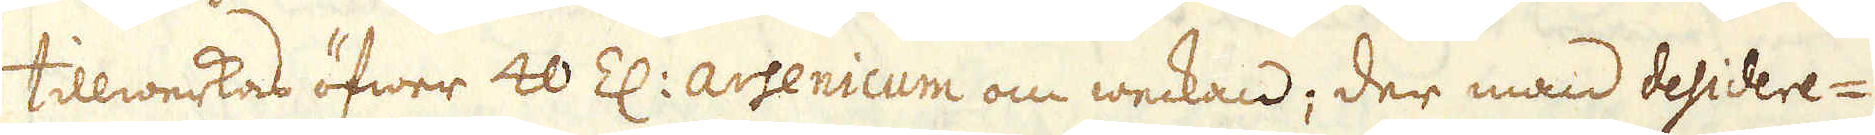tillwerkas öfwer 40 Z: arsenicum om weckan; der man desidere-
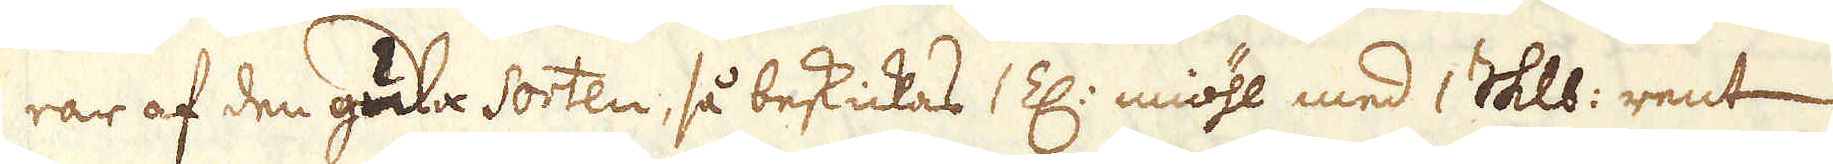rar af den gula Sorten, så beskickas 1 Z: miöhl med 1 Skålpund rent
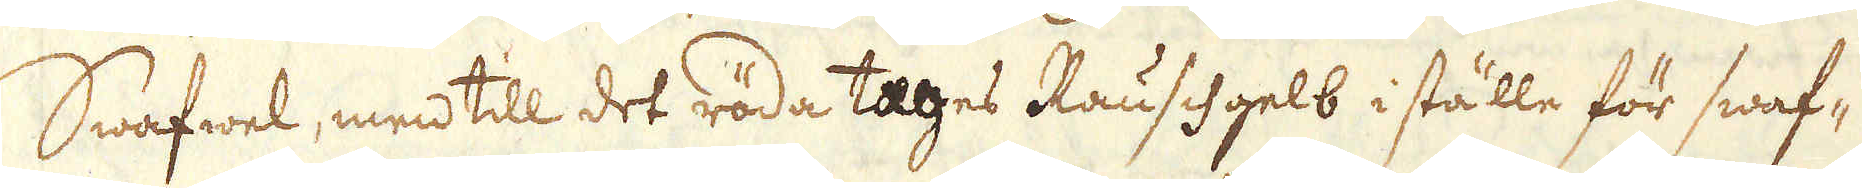Swafwel, men till det röda tages Rauschgelb i ställe för swaf-
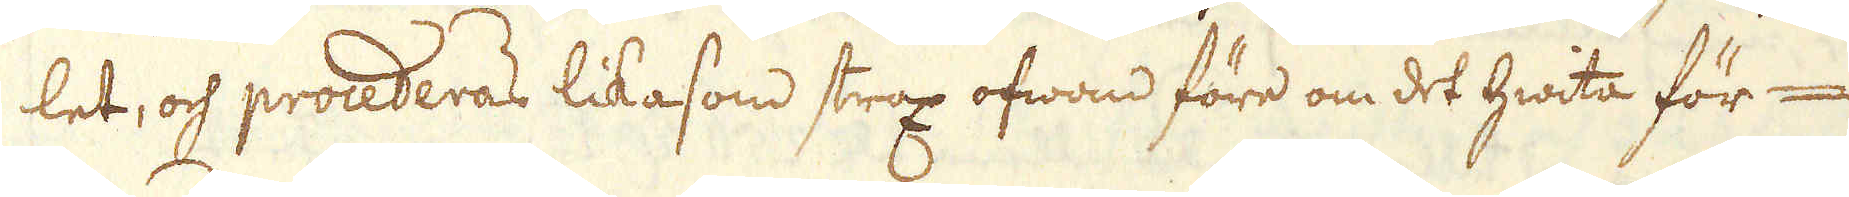let, och procederas likasom strax ofwan före om det hwita för-
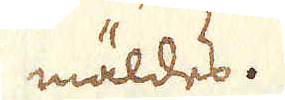mäldes.
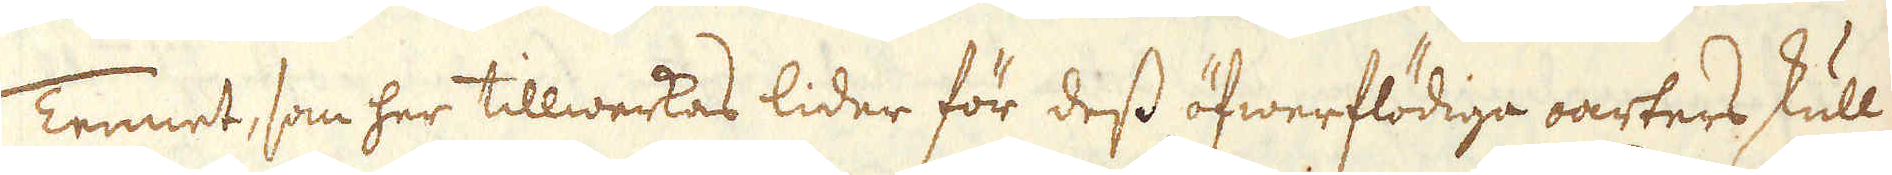Tennet, som her tillwerkas lider för dess öfwerflödiga oarters skull
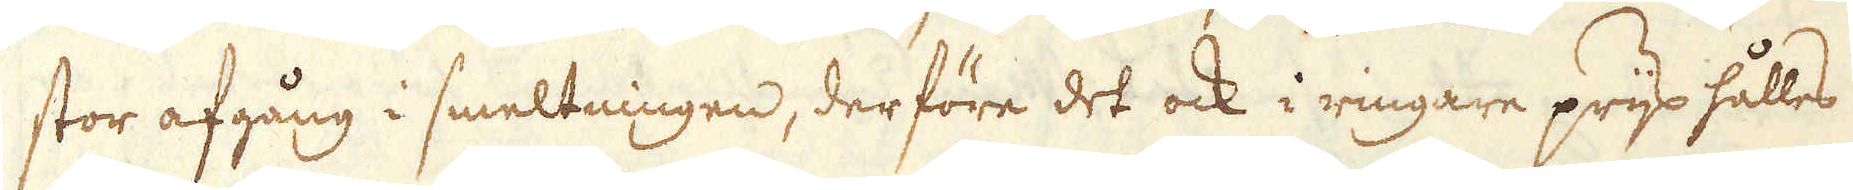stor afgång i smeltningen, derföre det ock i ringare prijs hålles
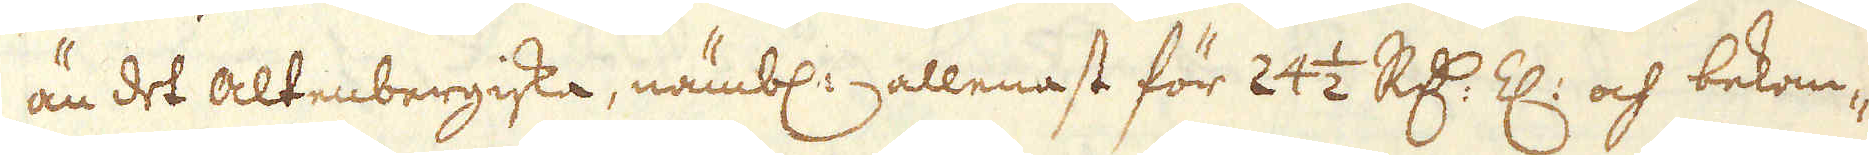än det altenbergiska, nämbl: allenast för 24 1/2 R:dr Z: och bekom-
